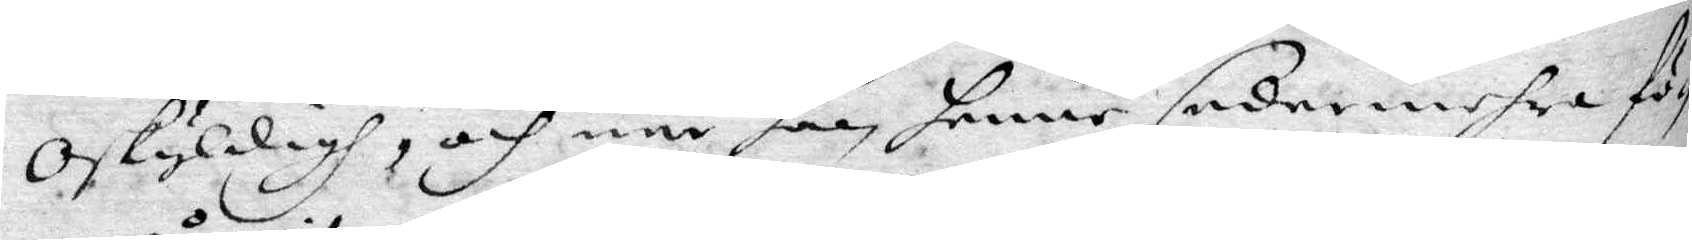oskyldigh, och när hon henne sedermehra fö¬
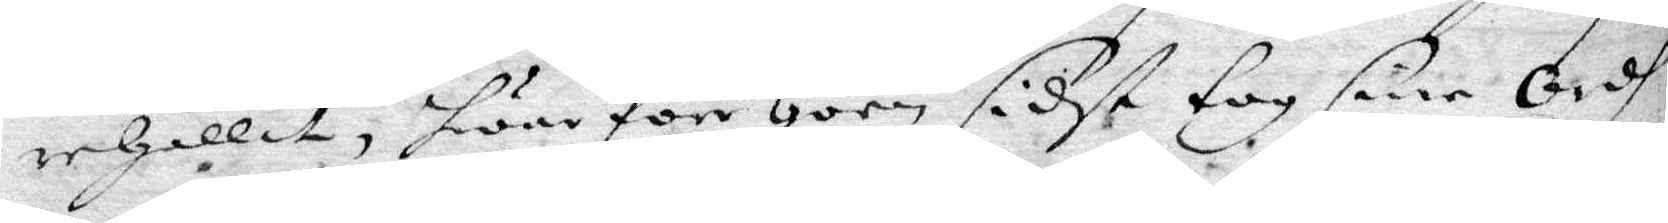rehållit, hwar före hoon sidst tog sine ordh
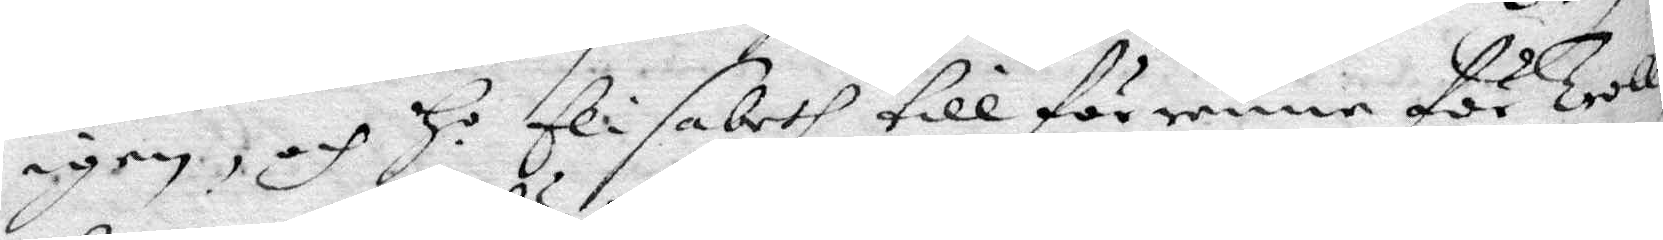igen, och Ho Elisabeth till förmena för Troll¬
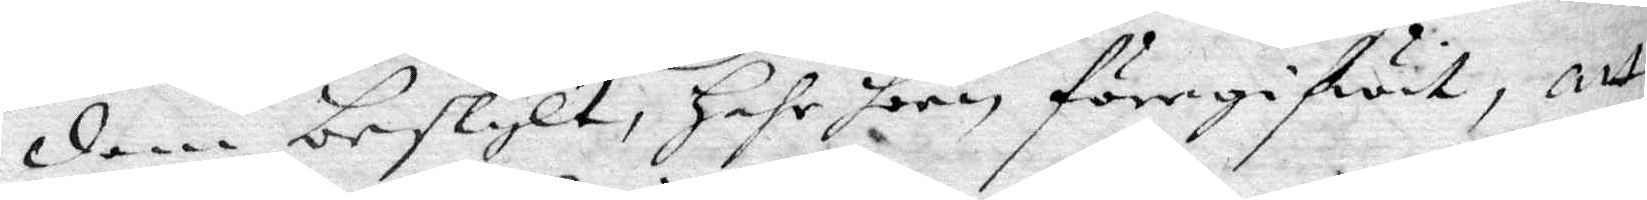dom beskylt, hahr hoon föregifwit, att
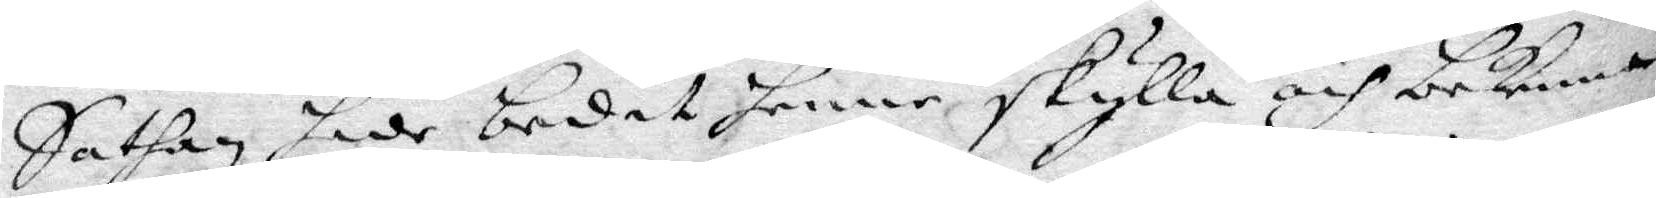Sathan hade bedit henne skylla och bekenna
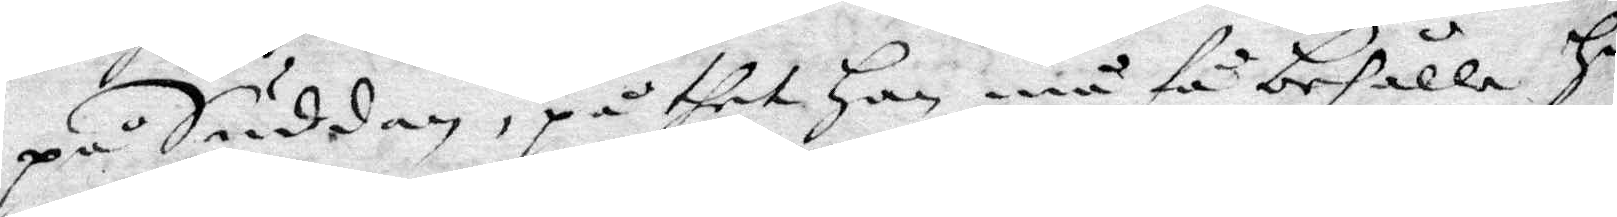på Suddan, på thet han må förbehålla Ho
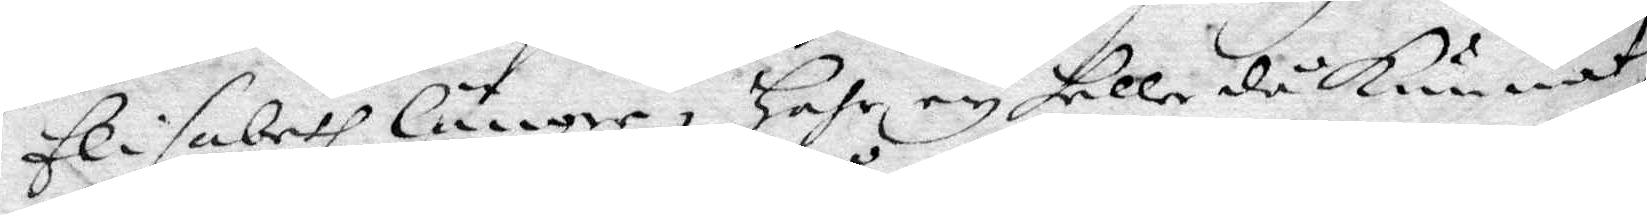Elisabeth länger, hahr ey heller då kunnat
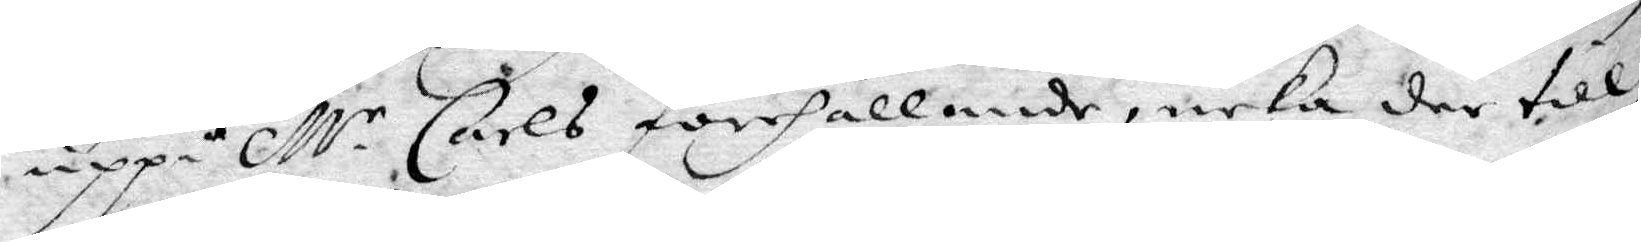uppå Mr Carels förehållande, neka der till
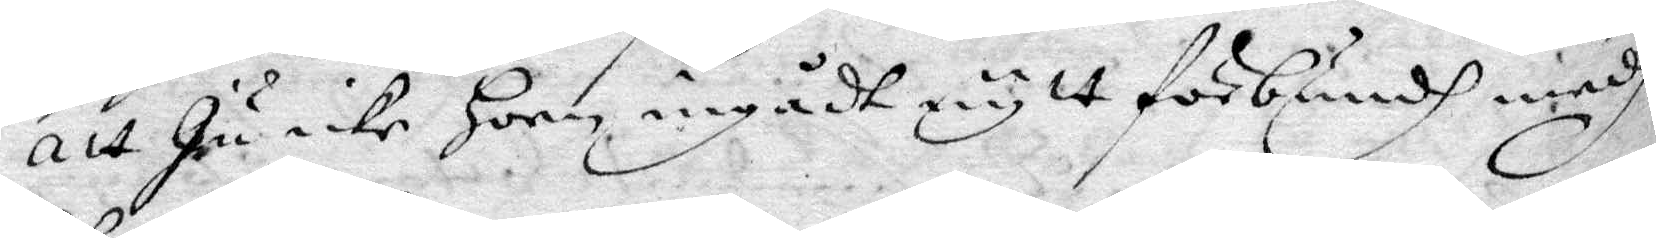att Ju icke hoon ingådt nytt förbundh medh
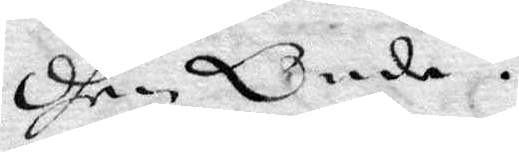dhen Onde.
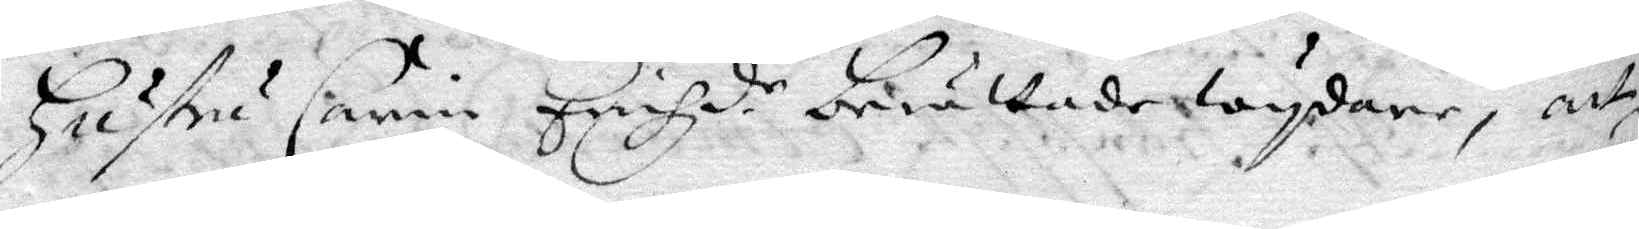Hustru Carin Erichzdr berättade wydare, att
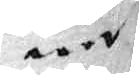när
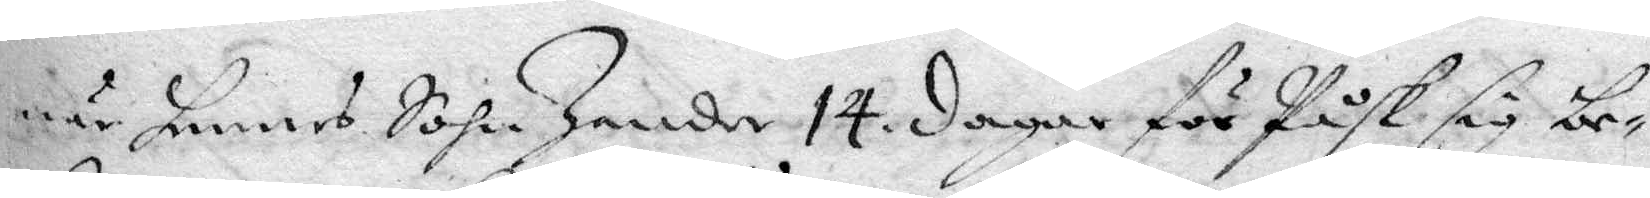när hennes Sohn Zander 14 dagar för Påsk sig be¬
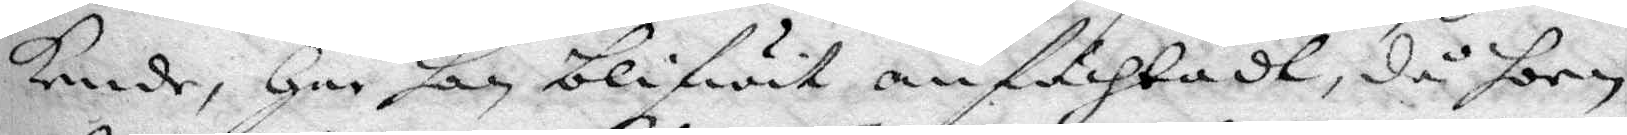kende, har han blifwit anfächtadt, då hon
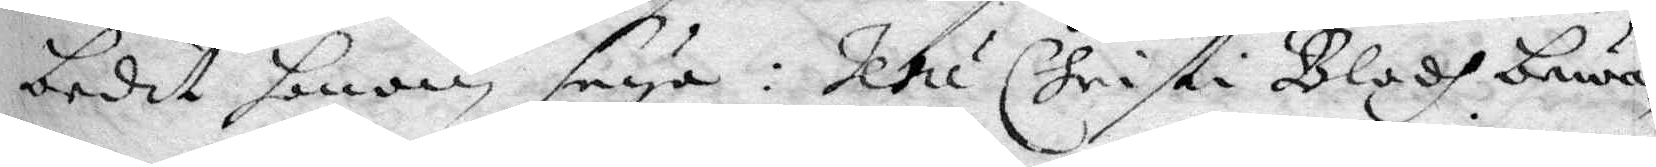bedit honom seya: Jesu Christi Blodh bewa¬
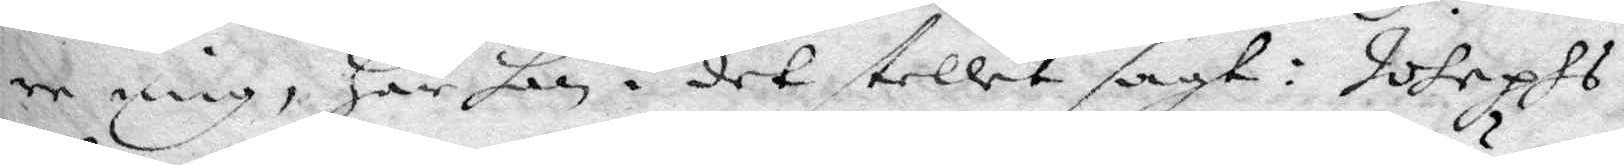re mig, har han i det stellet sagt: Johephs
